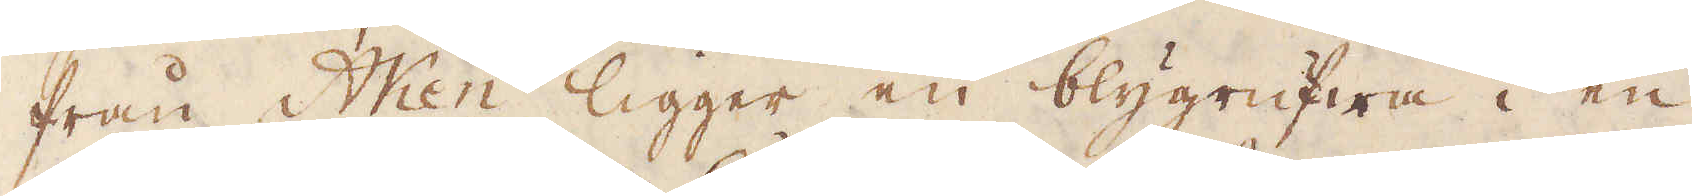från Aken ligger en blygrufwa i en
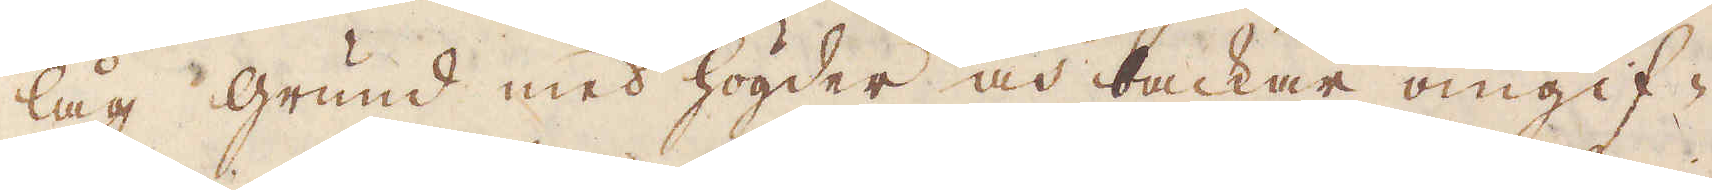låg grund med högder och backar omgif-
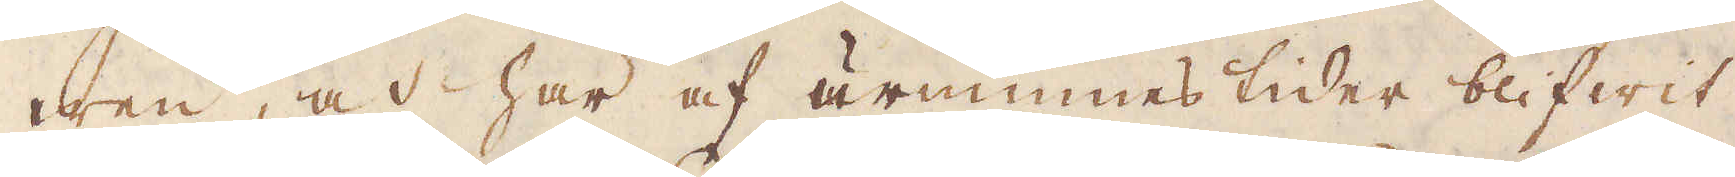wen, och har af urminnes tider blifwit
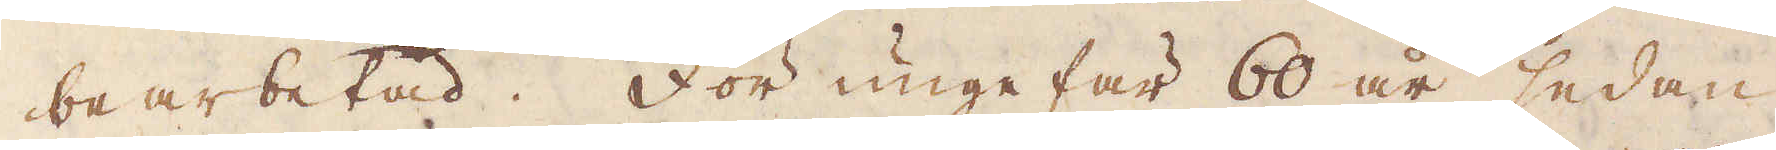bearbetad. För ungefär 60 år sedan
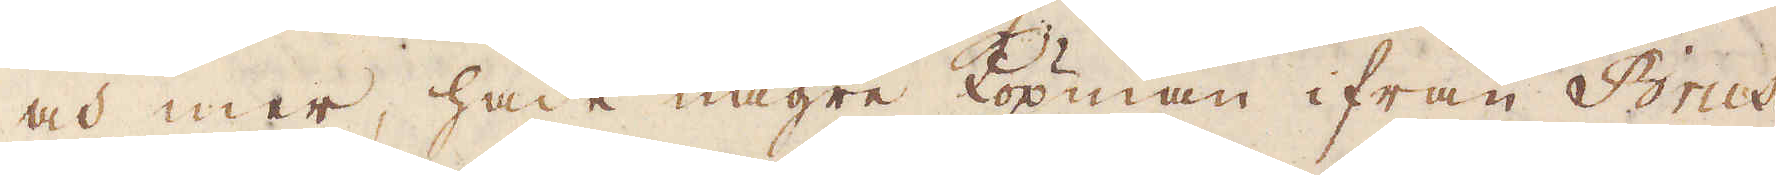och mer, hade någre köpman ifrån Brus-
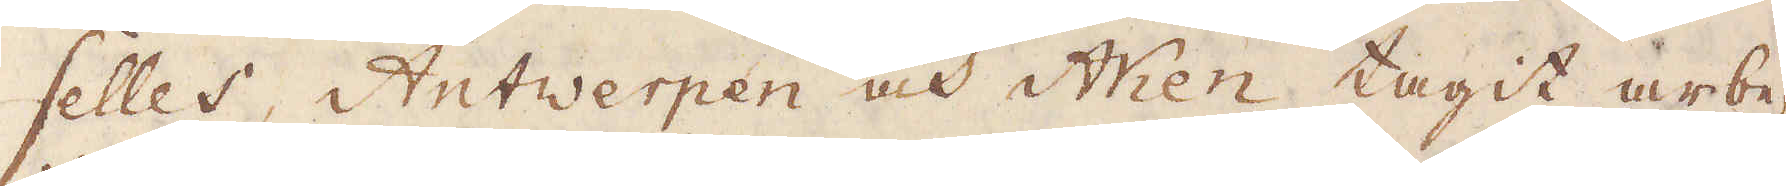selles, Antwerpen och Aken tagit arbe-
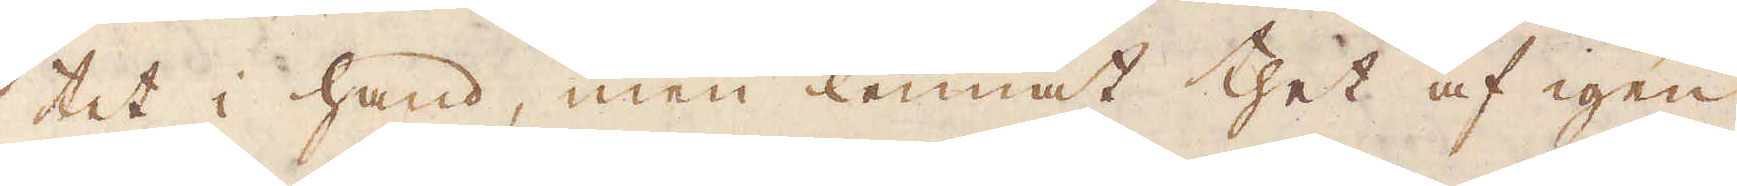tet i hand, men lemnat thet af igen
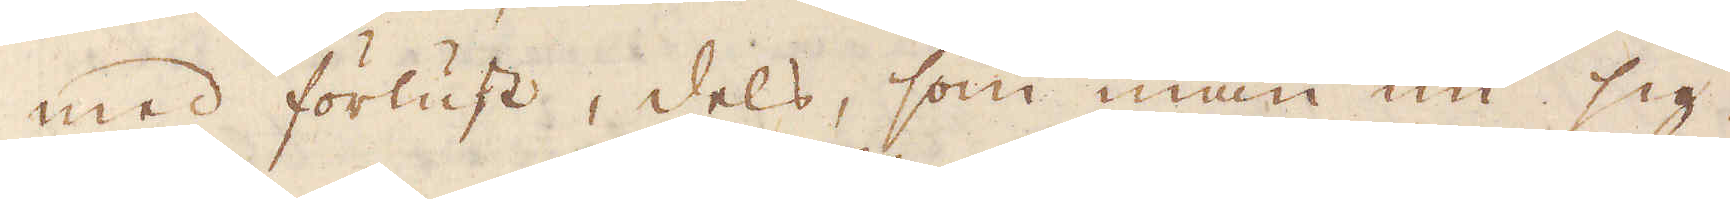med förlust, dels, som man nu sig
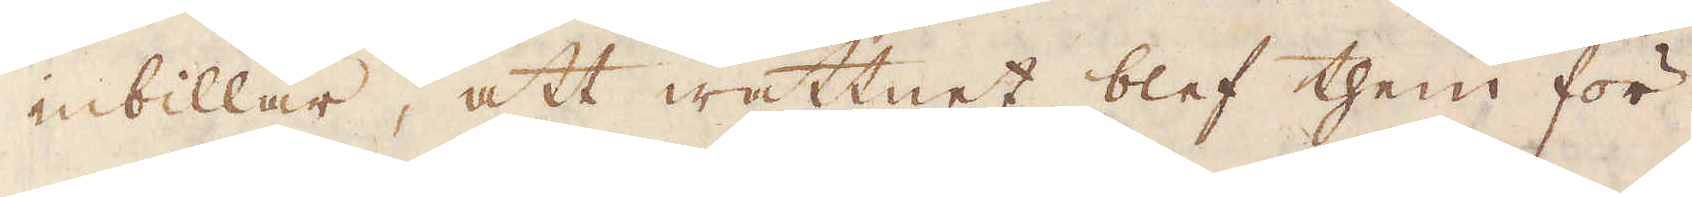inbillar, att wattnet blef them för
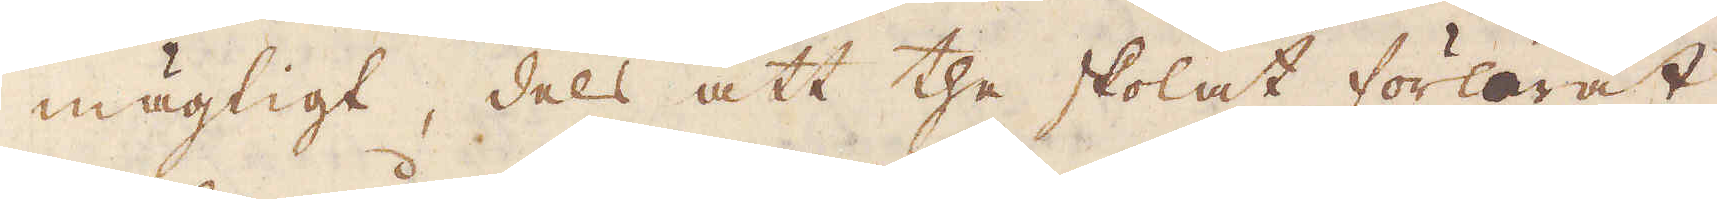mägtigt, dels att the skolat förlorat
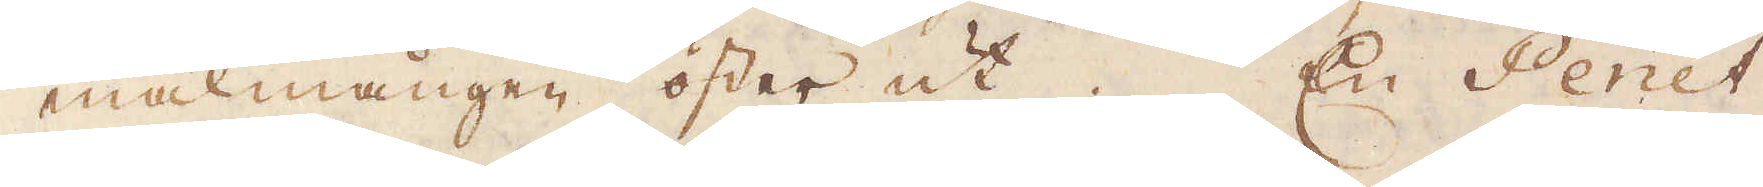malmången öster ut. En Penêt
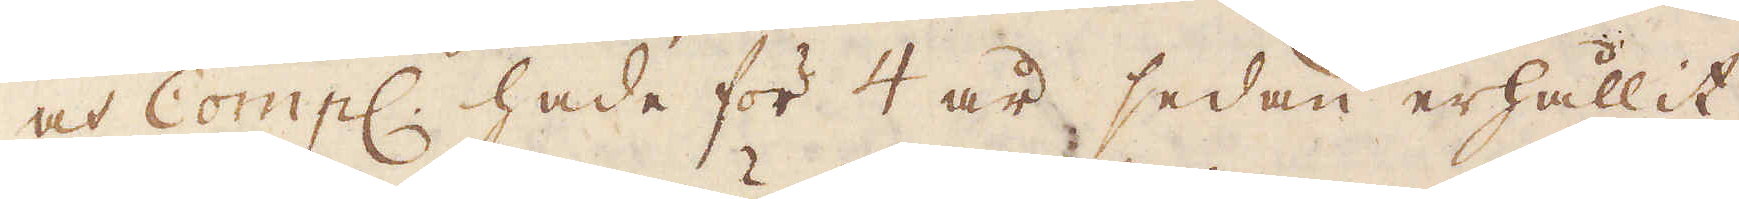och Comp: hade för 4 år sedan erhållit
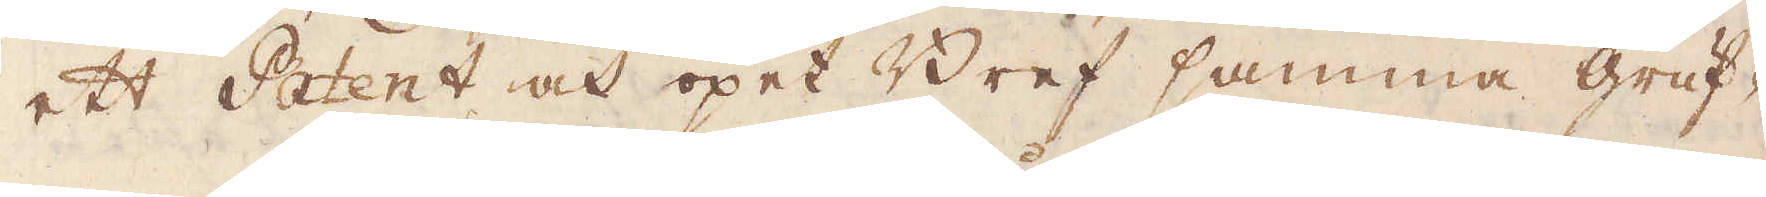ett Patent och öpet Bref samma gruf-
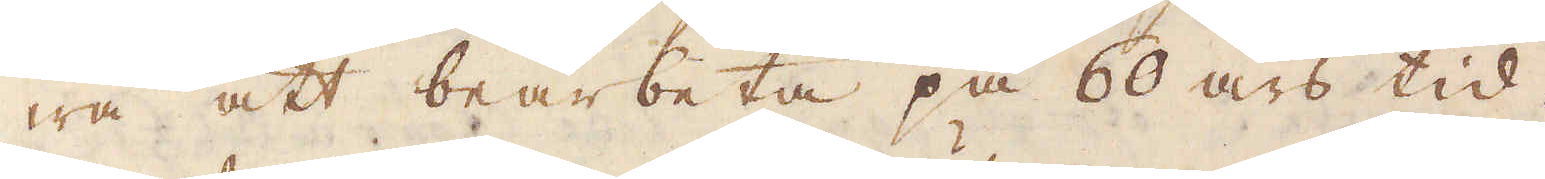wa att bearbeta på 60 års tid.
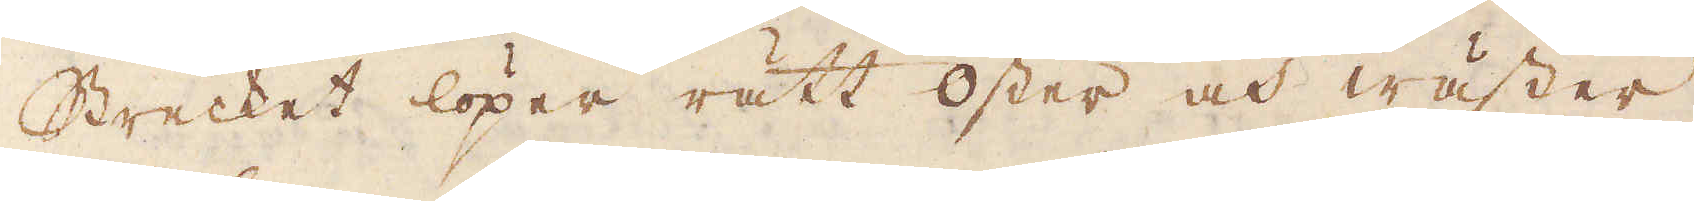Strecket löper rätt öster och wäster,
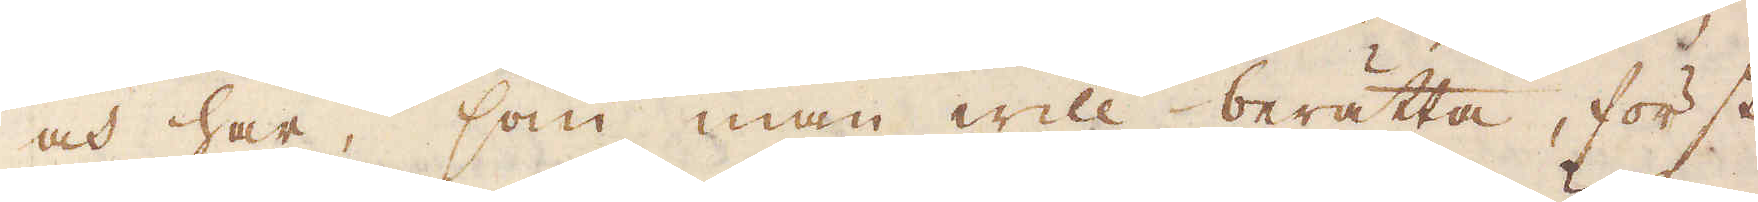och har, som man will berätta, först
